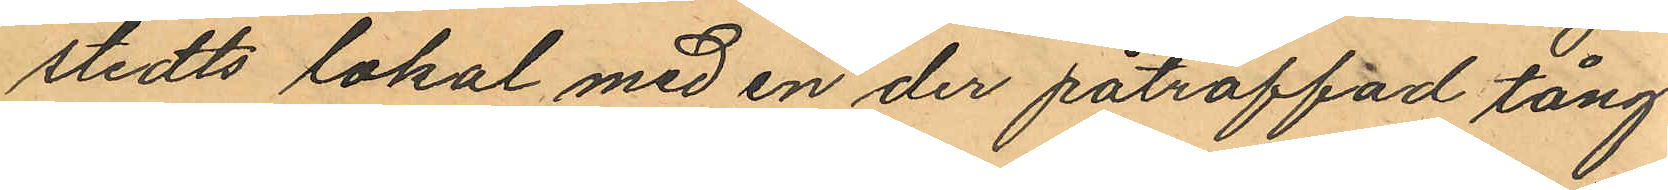stedts lokal med en der påträffad tång
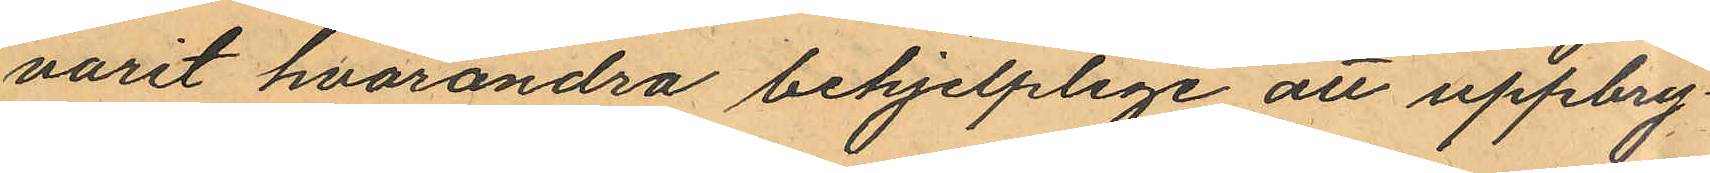varit hvarandra behjelplige att uppbry¬
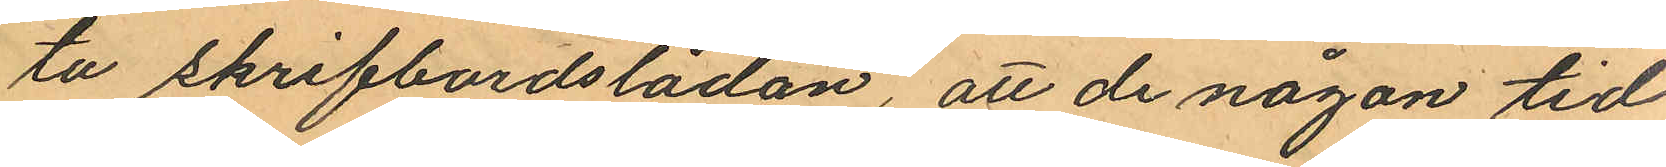ta skrifbordslådan, att de någon tid
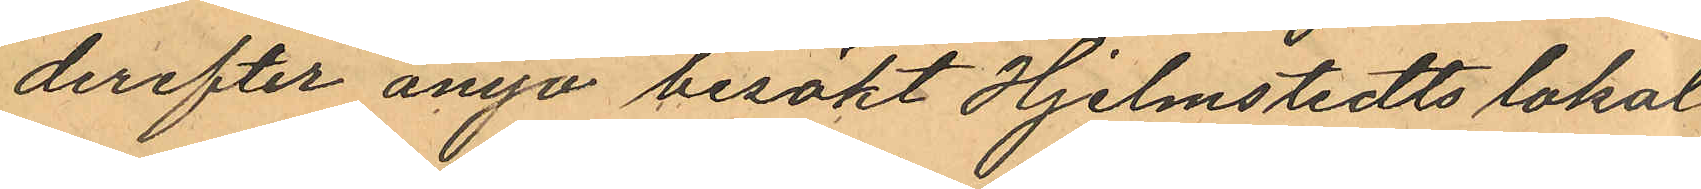derefter ånyo besökt Hjelmstedts lokal
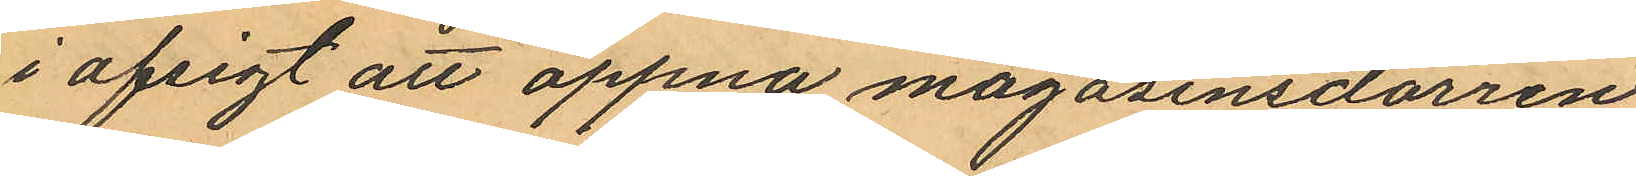i afsigt att öppna magasinsdörren
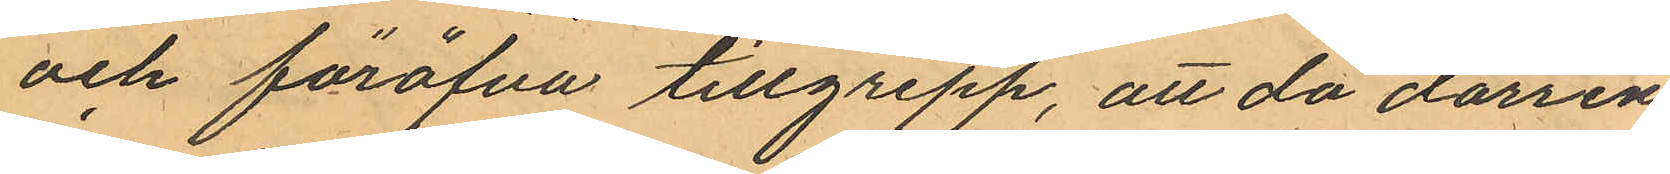och föröfva tillgrepp, att då dörren
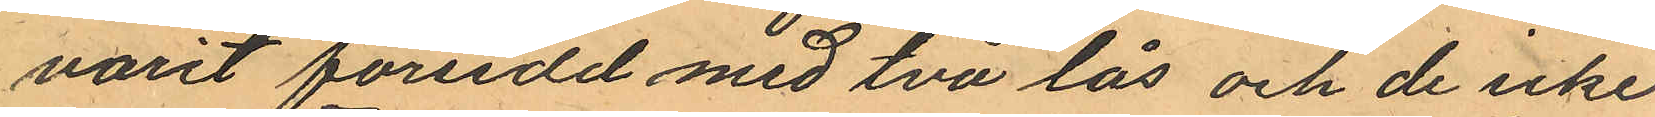varit föreedd med två lås och de icke
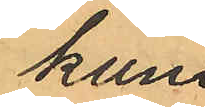kun¬
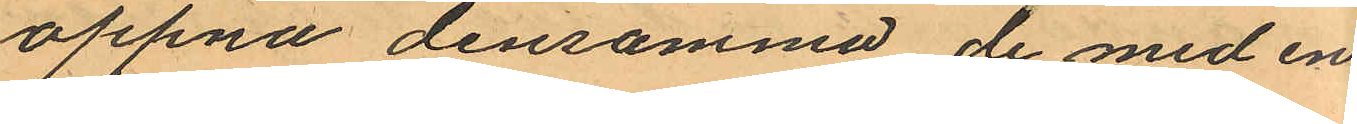öppna densamma de med en
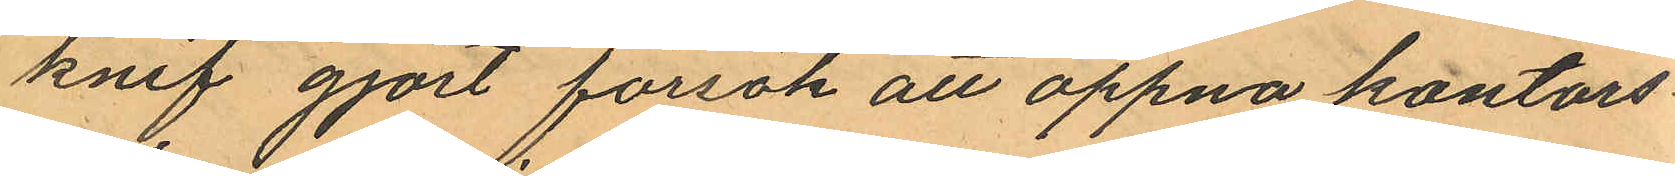knif gjort försök att öppna kontors¬
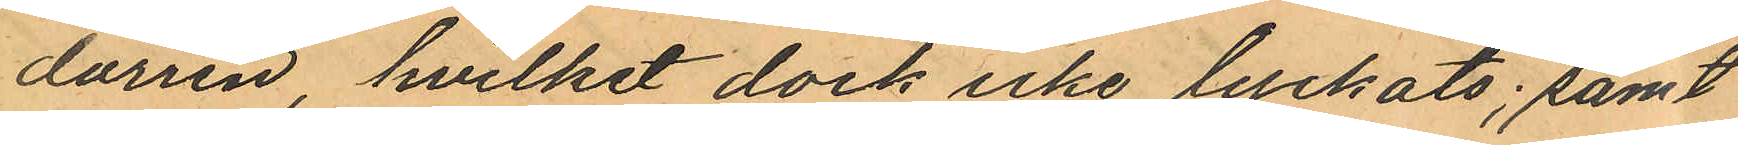dörren hvilket dock icke lyckats; samt
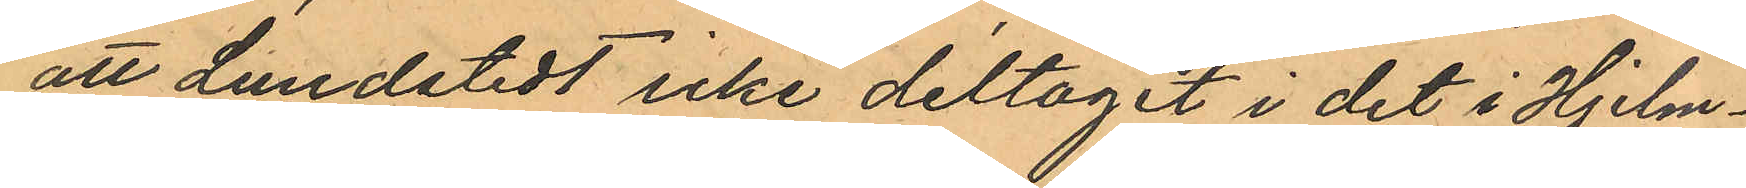att Lundstedt icke deltagit i det i Hjelm¬
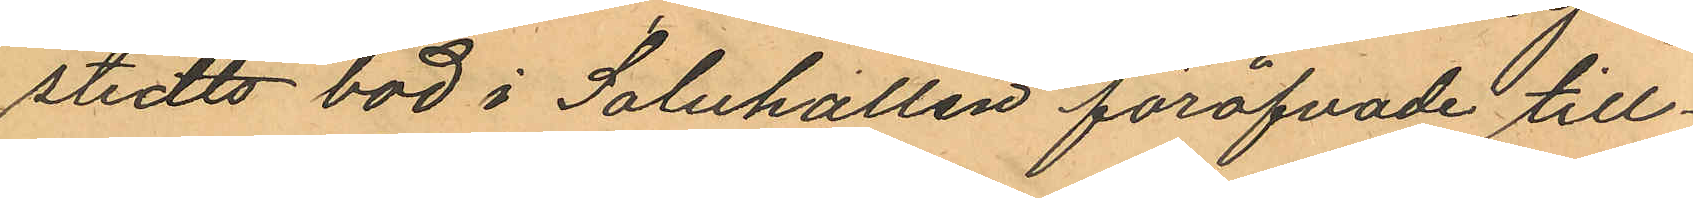stedts bod i Saluhallen föröfvade till¬
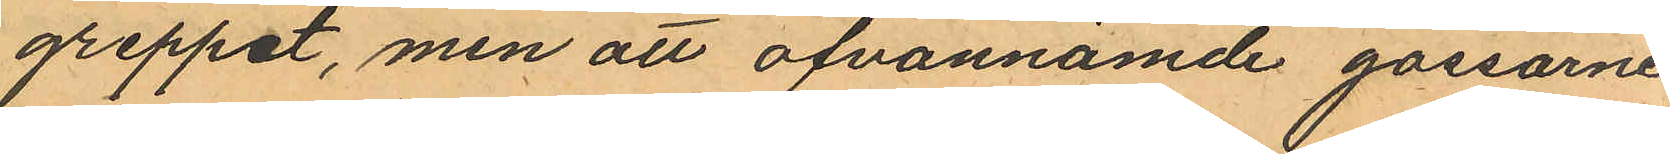greppet, men att ofvannämde gossarne
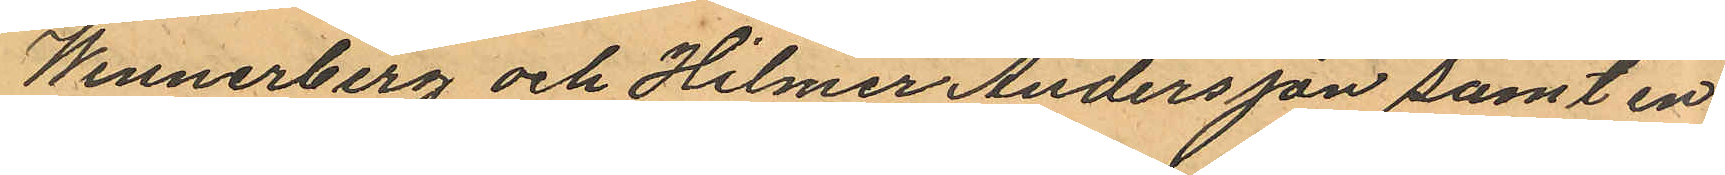Wennerberg och Hilmer Andersson samt en
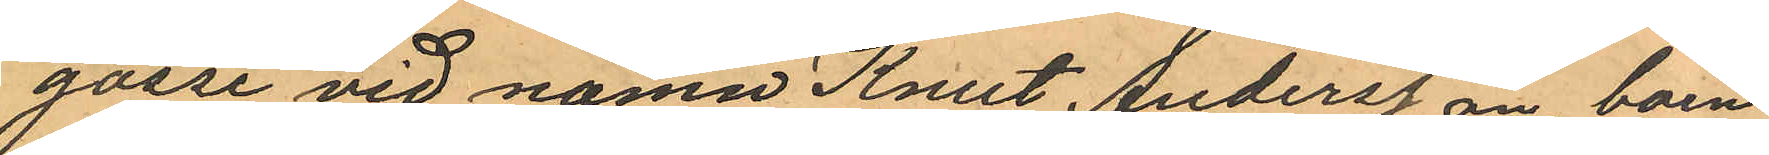gosse vid namn Knut Andersson boen¬
